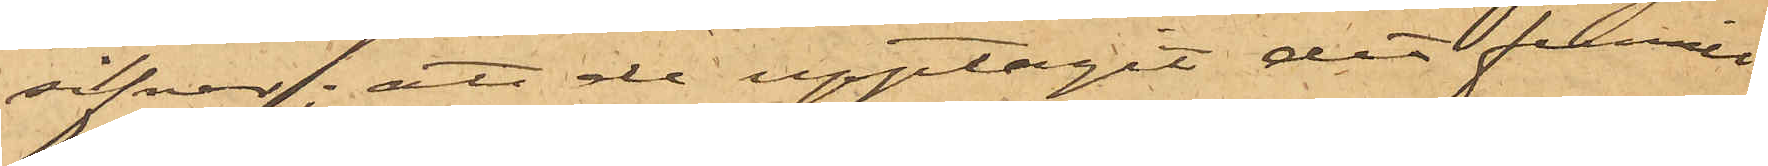silfver; att de upptagit det funne
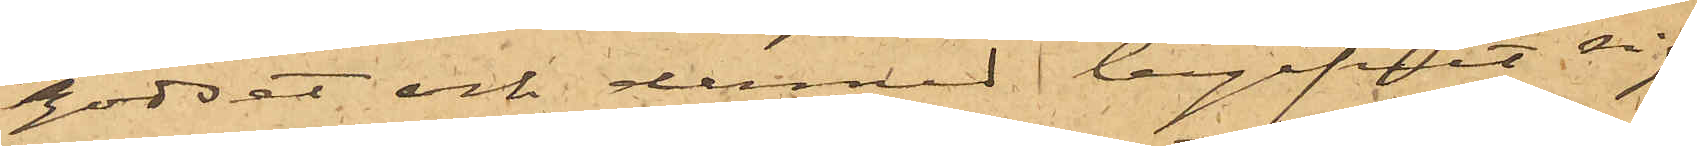godset och dermed begifvit sig
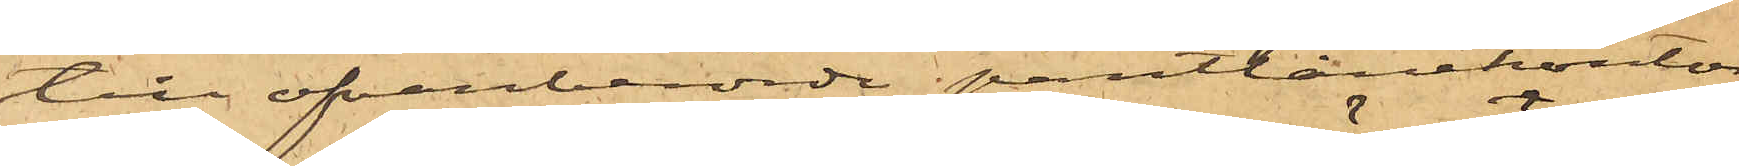till ofvanberörde pantlånekontor,
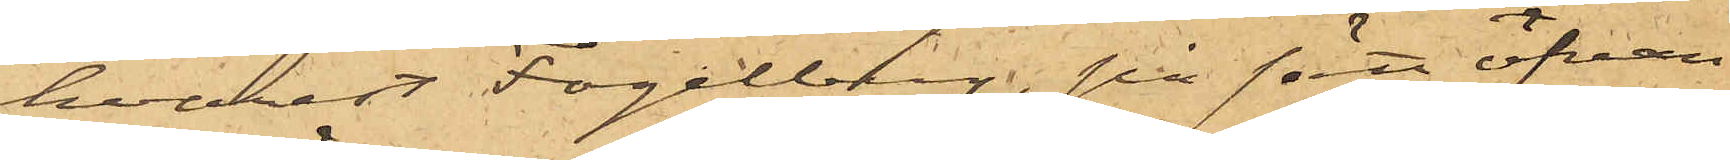hvarest Fogelberg, på sätt ofvan
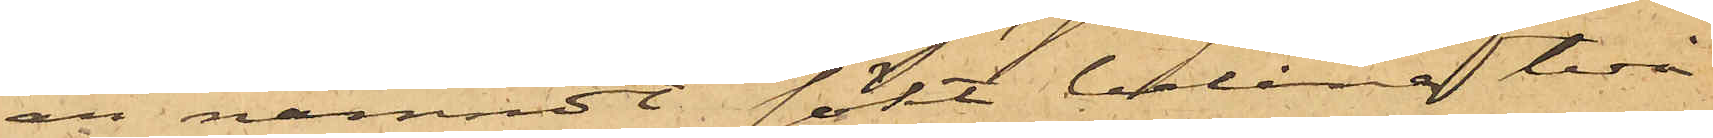är nämndt sökt belåna två
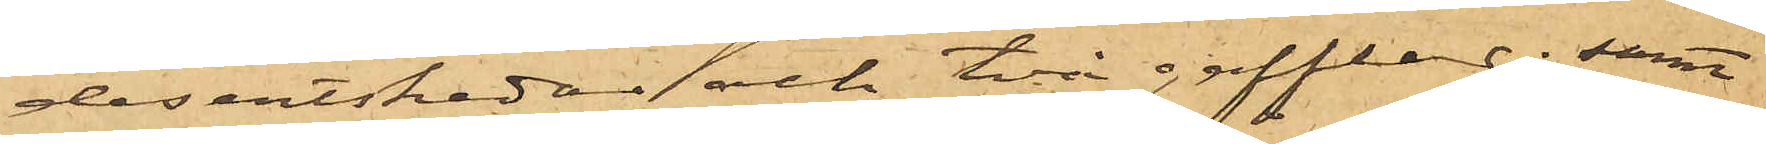desertskedar och två gafflar; samt
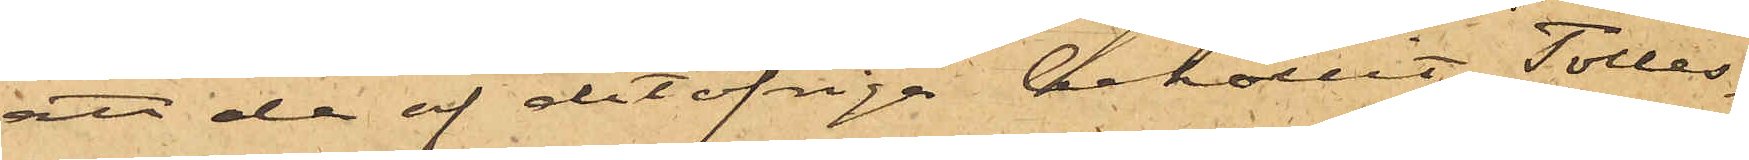att de af det öfrige behållit, Tolles¬
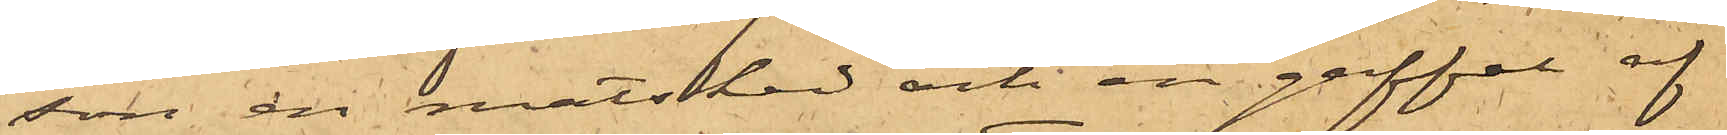son en matsked och en gaffel af
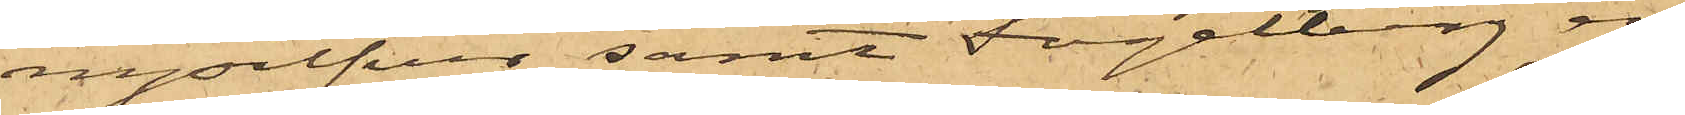nysilfver samt Fogelberg en
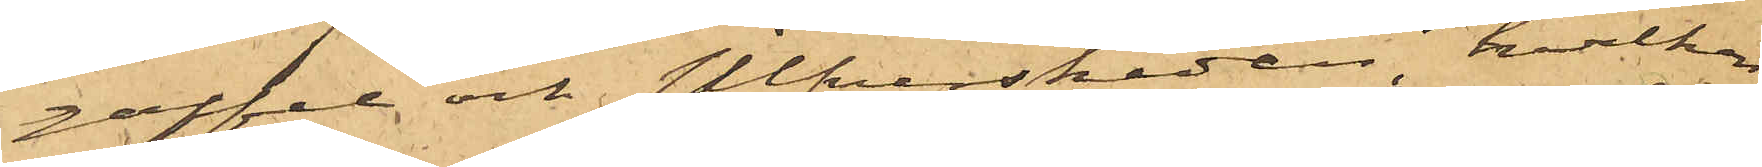gaffel och silfverskeden, hvilken
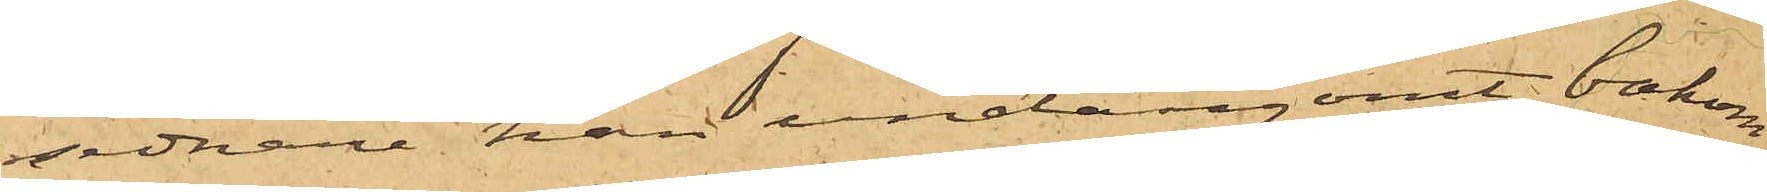sednare han undangömt bakom
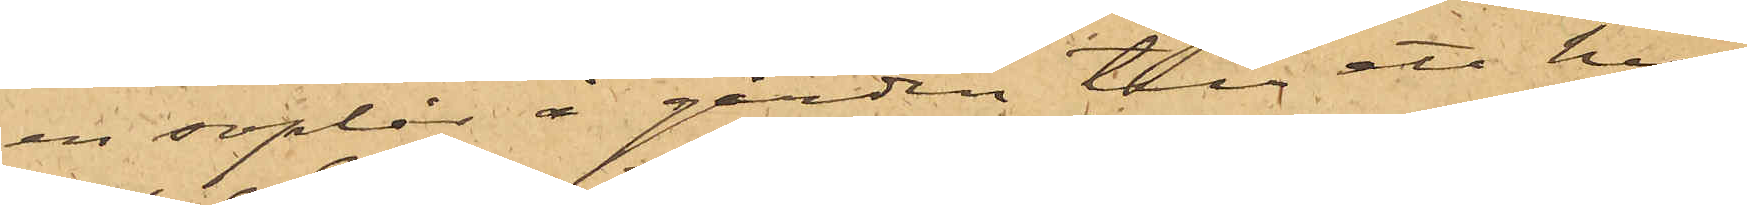en soplår å gården till ett hus
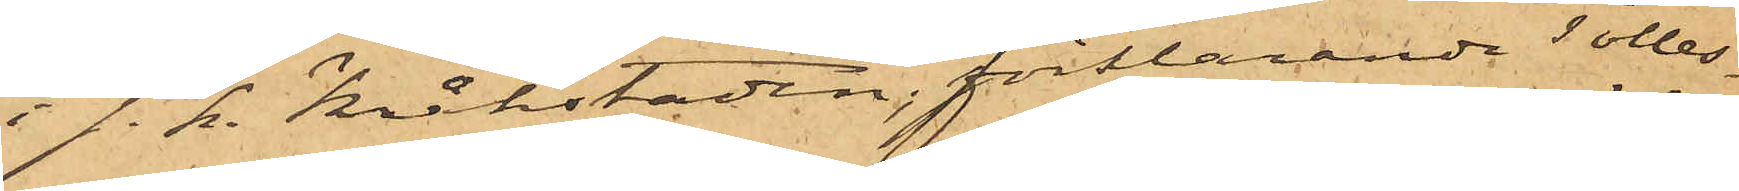i s.k. Kåkstaden, förklarande Tolles¬
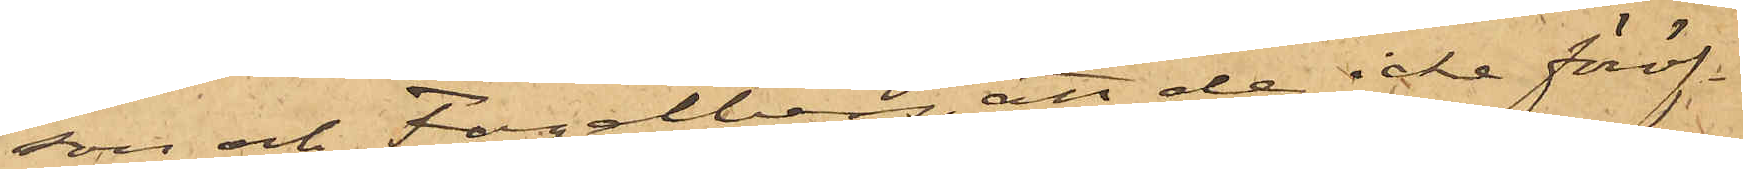son och Fogelberg, att de icke föröf¬
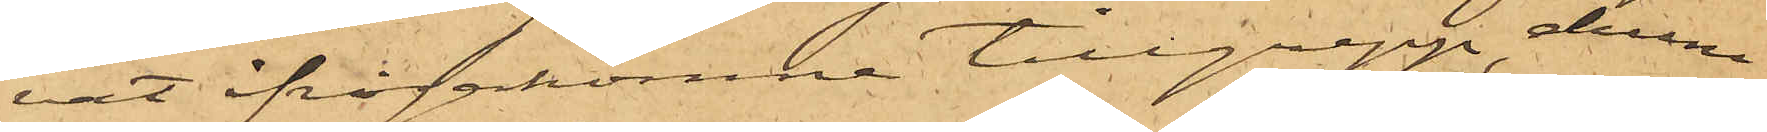vat ifrågakomne tillgrepp, ehuru
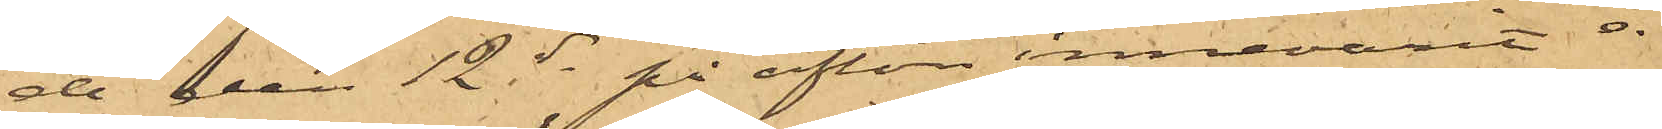de den 12 ds på afton innevarit å
